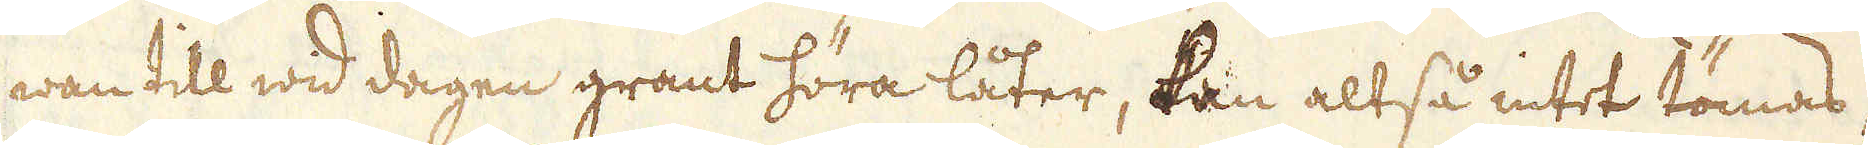wan till wid dagen grant höra låter, kan altså intet tömas,
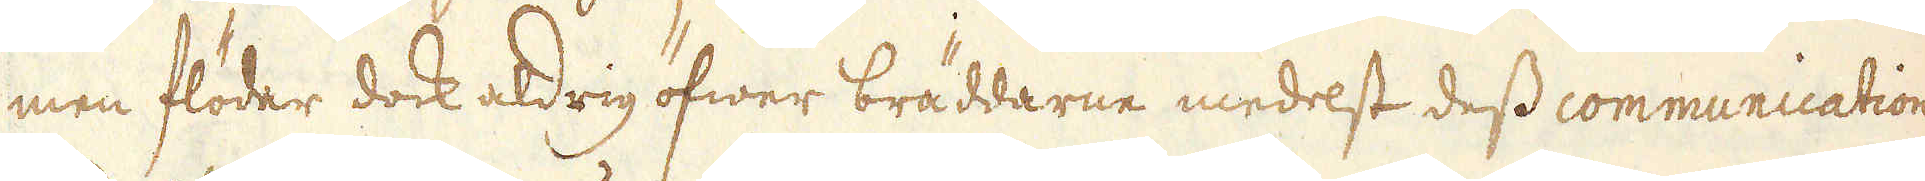men flödar dock aldrig öfwer bräddarne medelst dess communication
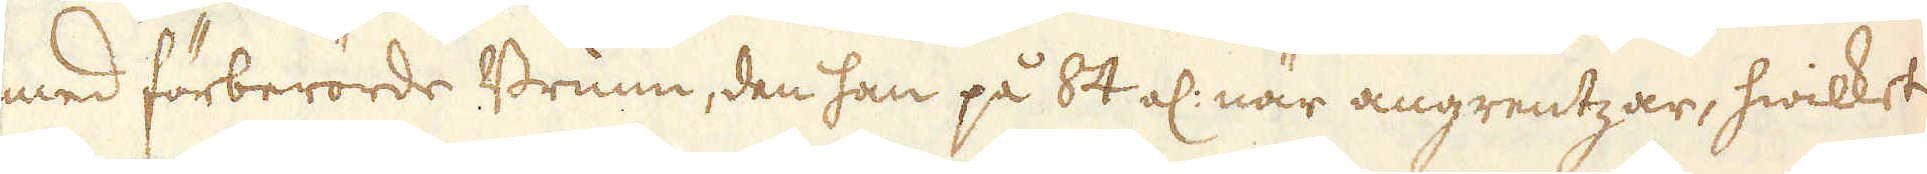med förberörde Brunn, den han på 84 al: när angrentzar, hwilket
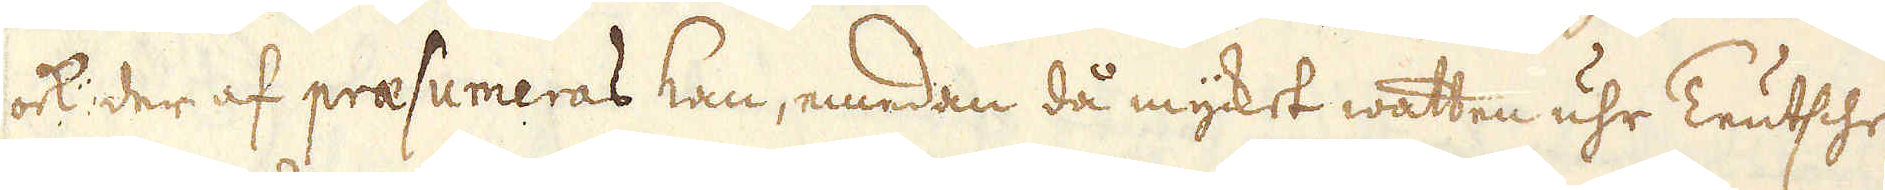ock der af praesumeras kan, emedan då mycket watten uhr Teutsche
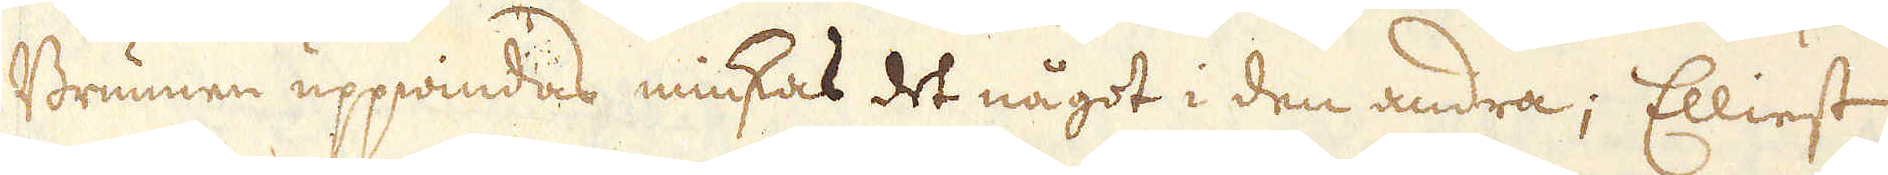Brunnen uppwindas minskas det något i den andra; Elliest
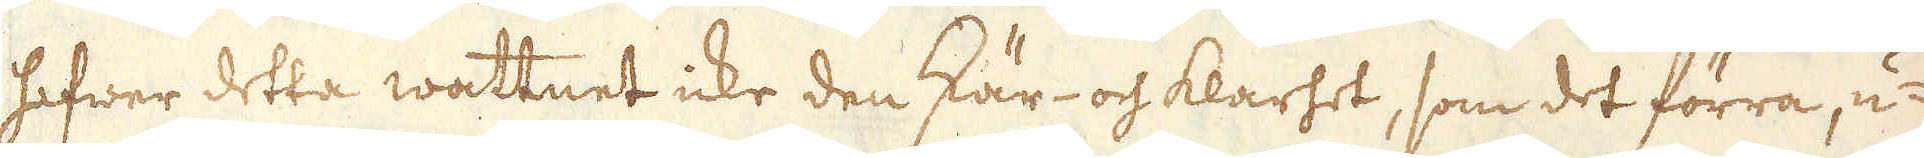hafwer detta wattnet icke den skär- och klarhet, som det förra, u-
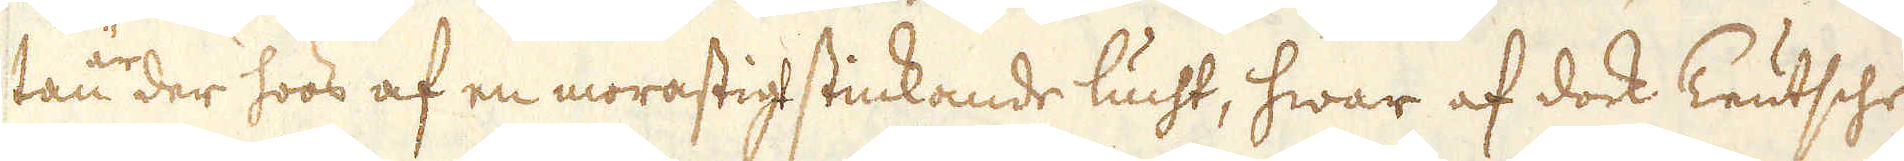tan der hoos af en morastigt stickande lucht, hwar af dock Teutsche
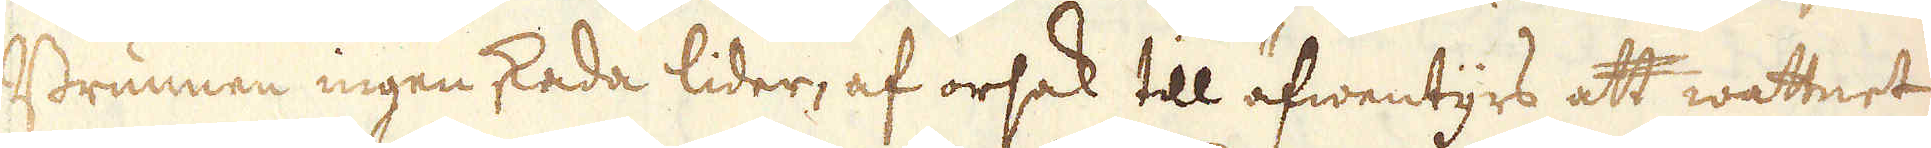Brunnen ingen skada lider, af orsak till äfwentyrs att wattnet
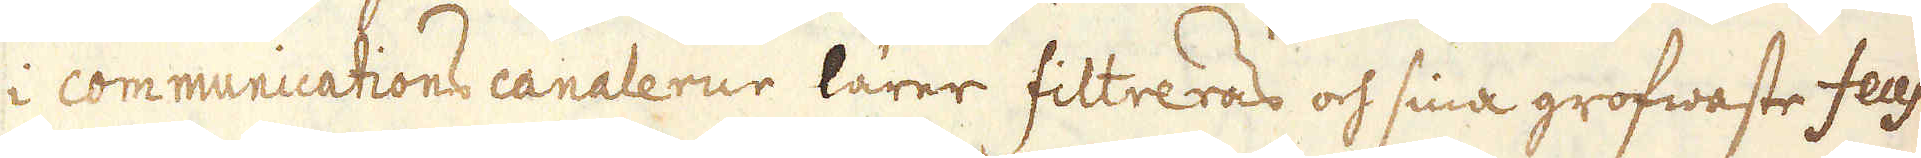i communications canalerne lärer filtreras och sina grofwaste feces
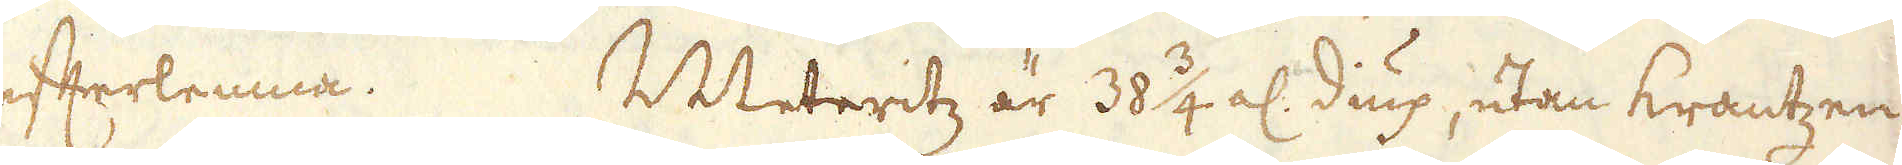efterlemna. Meteritz är 38 3/4 al: diup, utan krantzen,
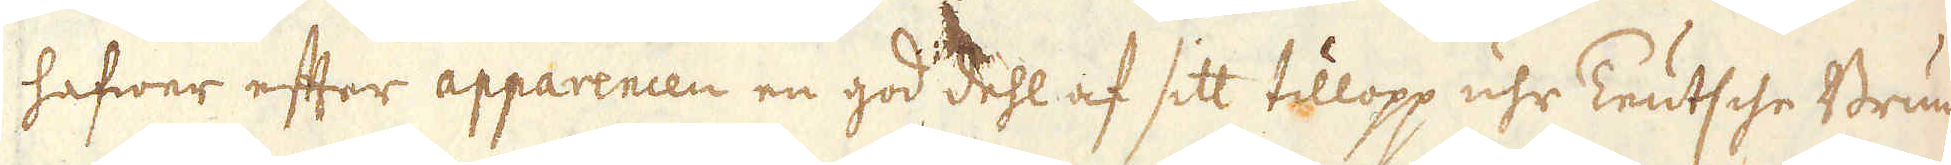hafwer efter apparencen en god dehl af sitt tillopp uhr Teutsche Brun-
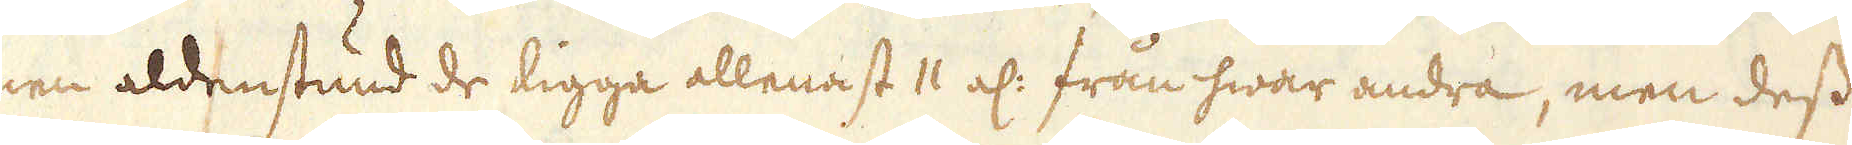nen aldenstund de ligga allenast 11 al: från hwar andra, men dess
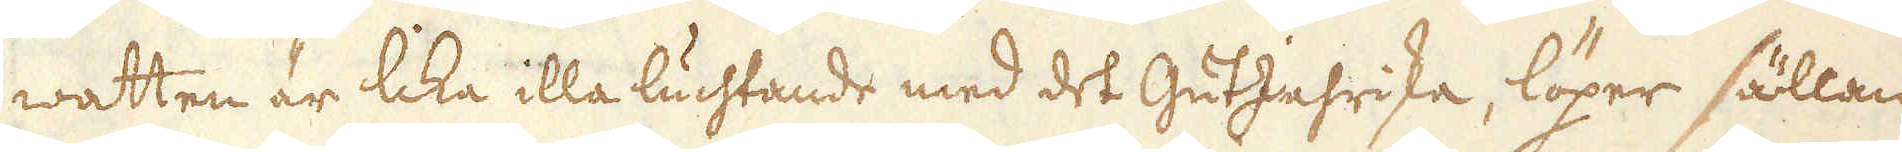watten är lika illa luchtande med det GutJahriska, löper sällan
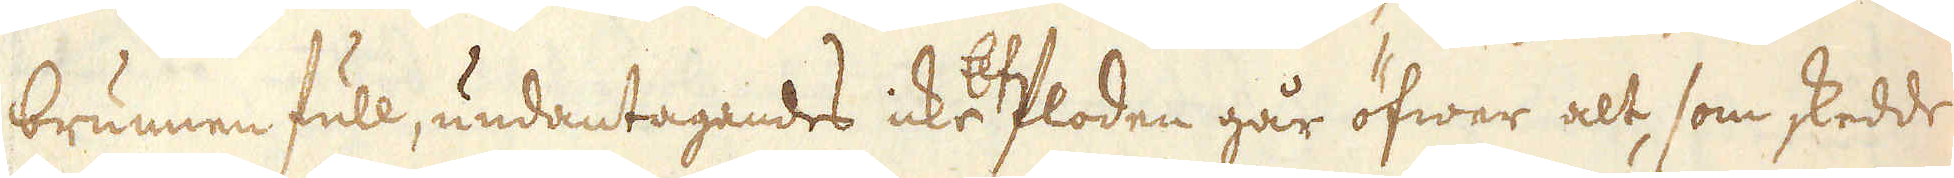brunnen full, undantagandes icke Elffloden går öfwer alt, som skedde
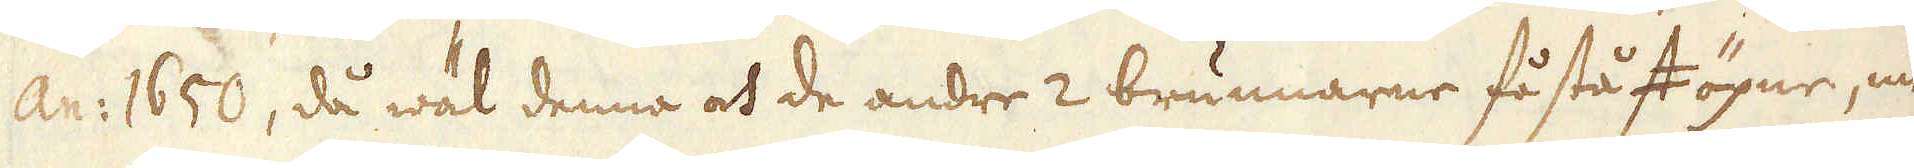an: 1650, då wäl denna och de andre 2 brunnarne få stått öpne, men
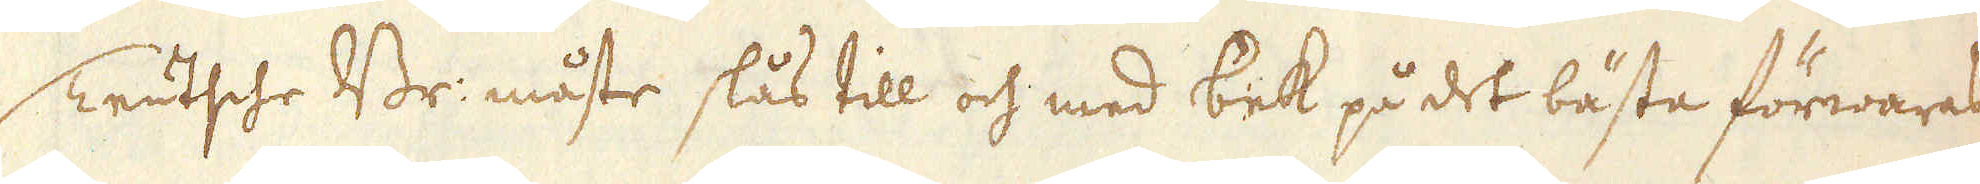Teutsche Br: måste slås till och med bek på det bästa förwaras.
